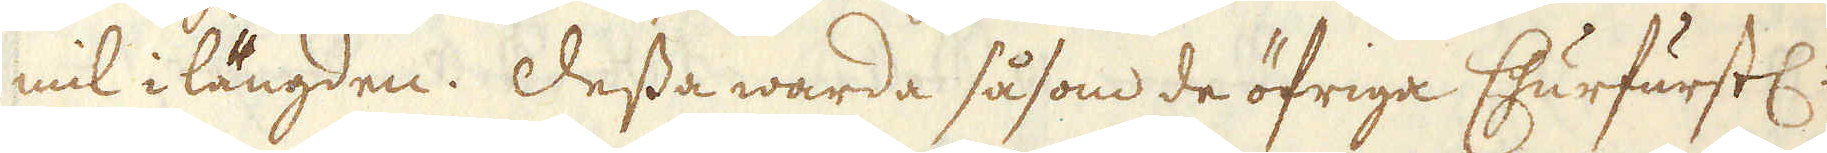mil i längden. Dessa warda såsom de öfriga Churfurstl:
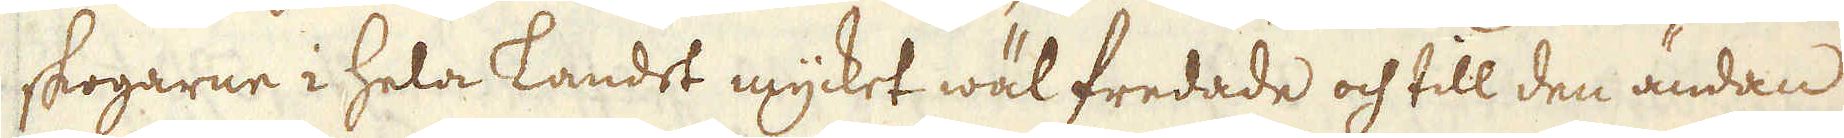skogarne i hela Landet mycket wälfredade och till den ändan
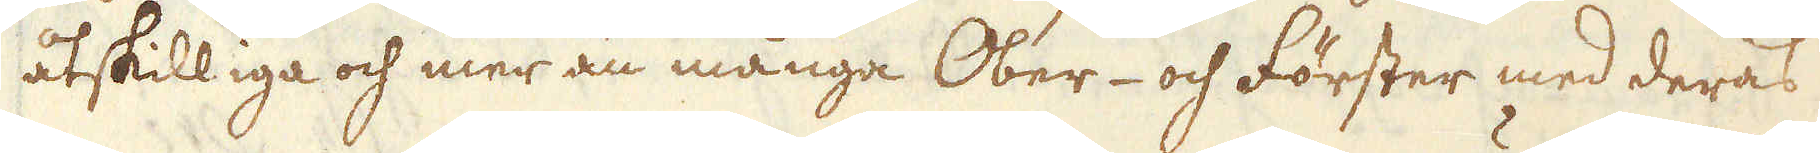åtskilliga och mer än många Ober- och Förster med deras
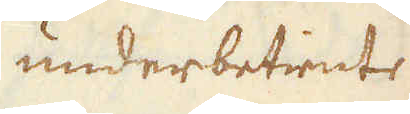underbetiente
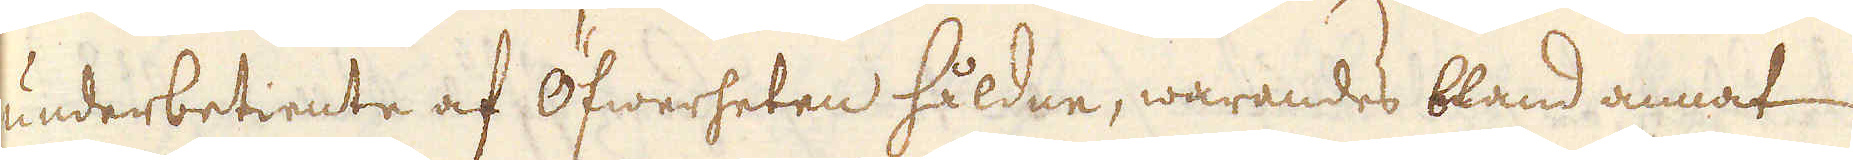underbetiente af Öfwerheten håldne, warandes bland annat
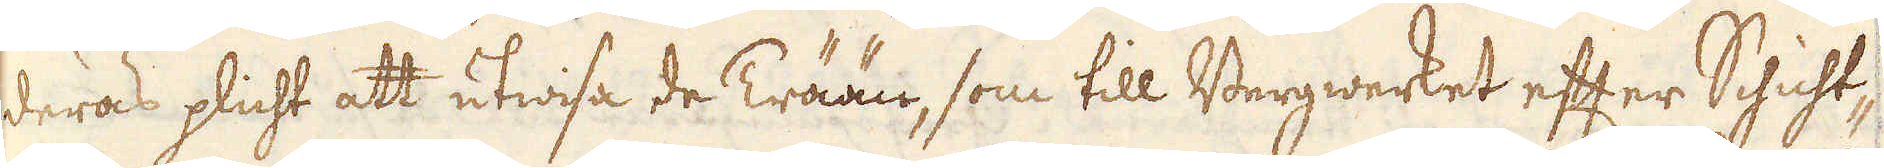deras plicht att utwisa de Trään, som till Bergwerket efter Schicht-
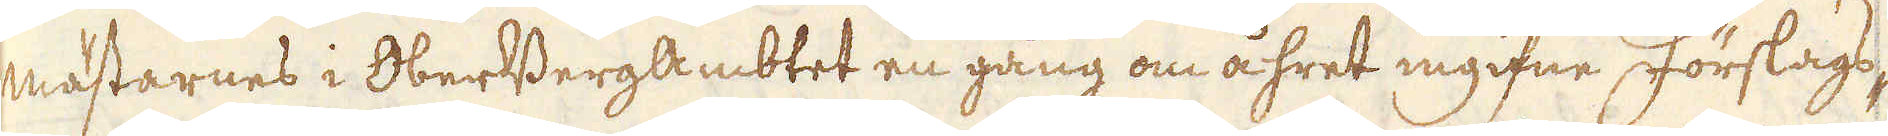mästarnes i OberBergAmbtet en gång om åhret ingifne Förslags-
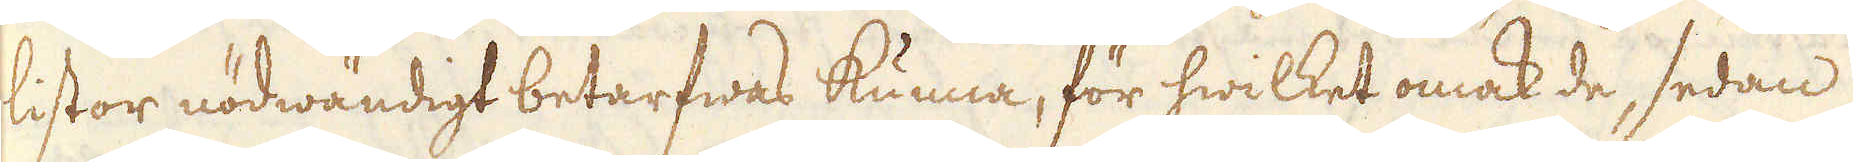listor nödwändigt betarfwas kunna, för hwilket omak de, sedan
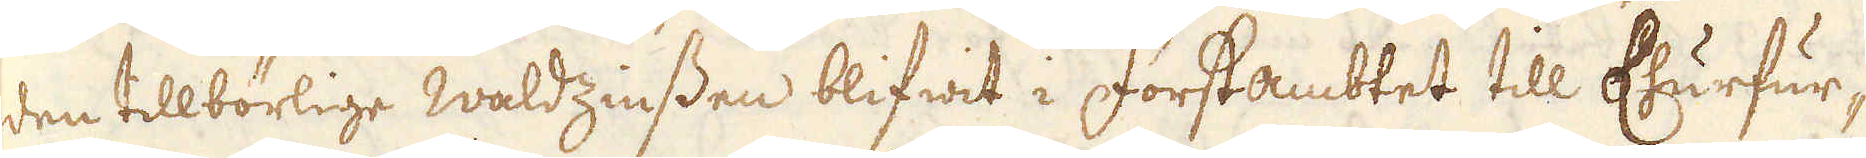den tillbörlige Waldzinssen blifwit i Forstambtet till Churfur-
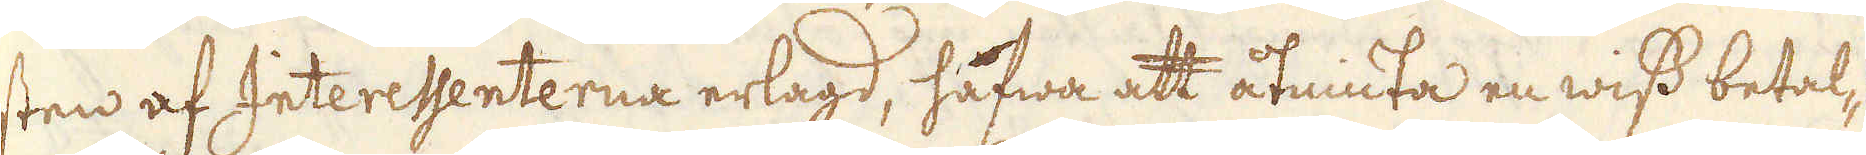sten af Interessenterna erlagd, hafwa att åtniuta en wiss betal-
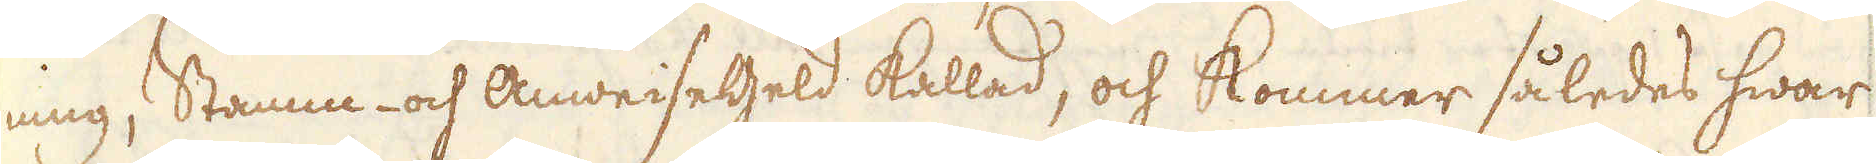ning; Stamm- och Anweisegeld kallad, och kommer således hwar
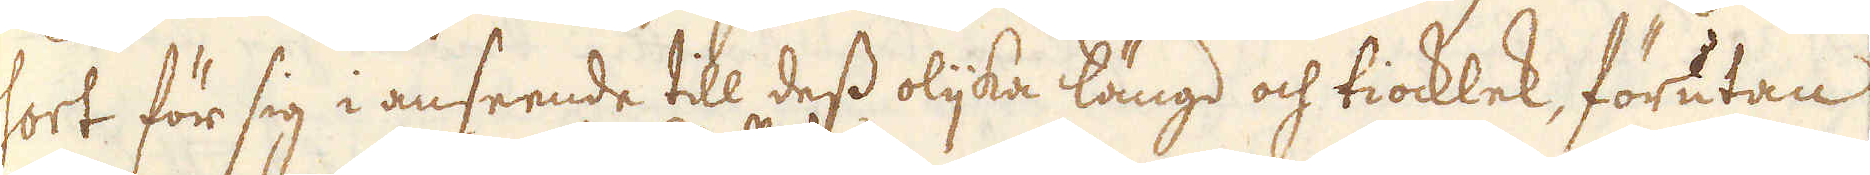sort för sig i anseende till dess oljka längd och tiocklek, förutan
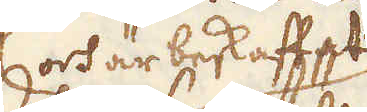och är beskaffat
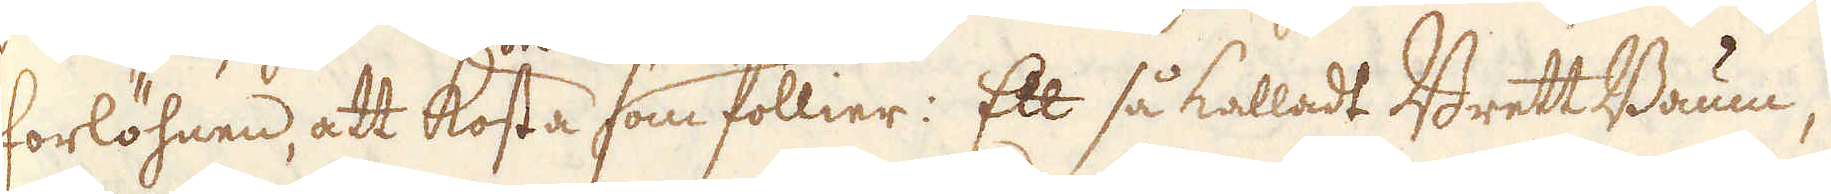forlöhnen, att kosta som föllier: Ett så kalladt Brett Baum,
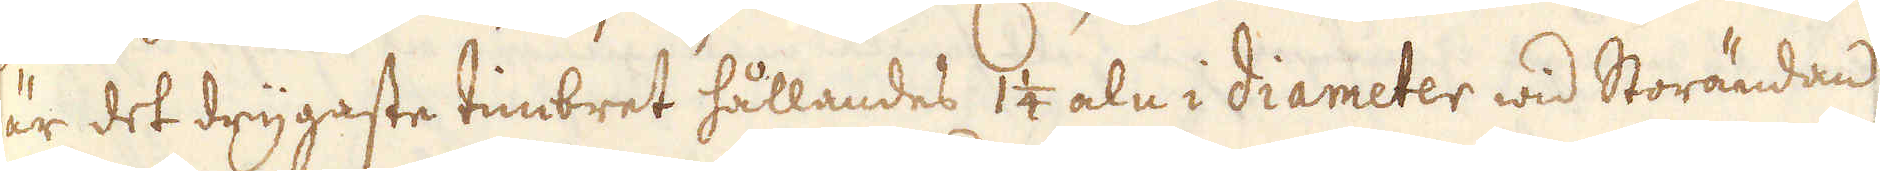är det drygaste timbret hållandes 1 1/4 aln i diameter wid Storändan
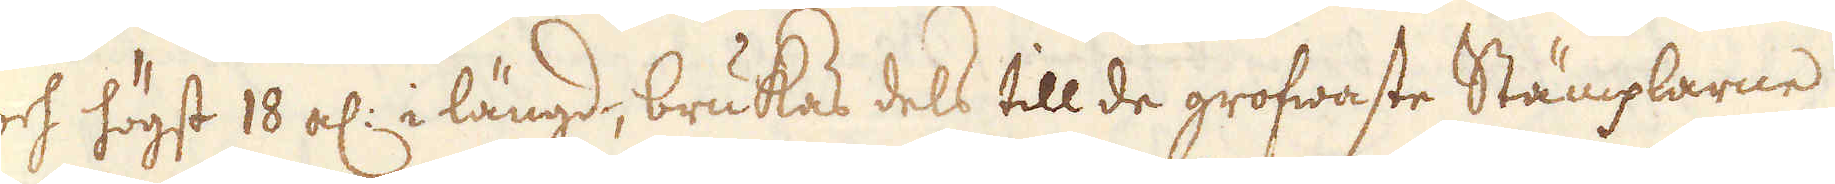och högst 10 al: i längd, brukas dels till de grofwaste Stämplarne
